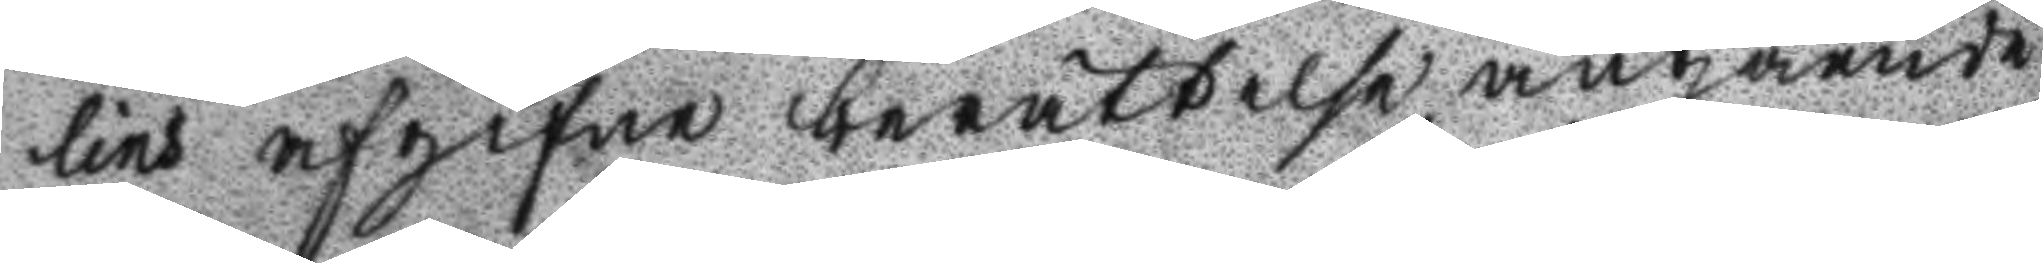lins afgifne berttelse angående
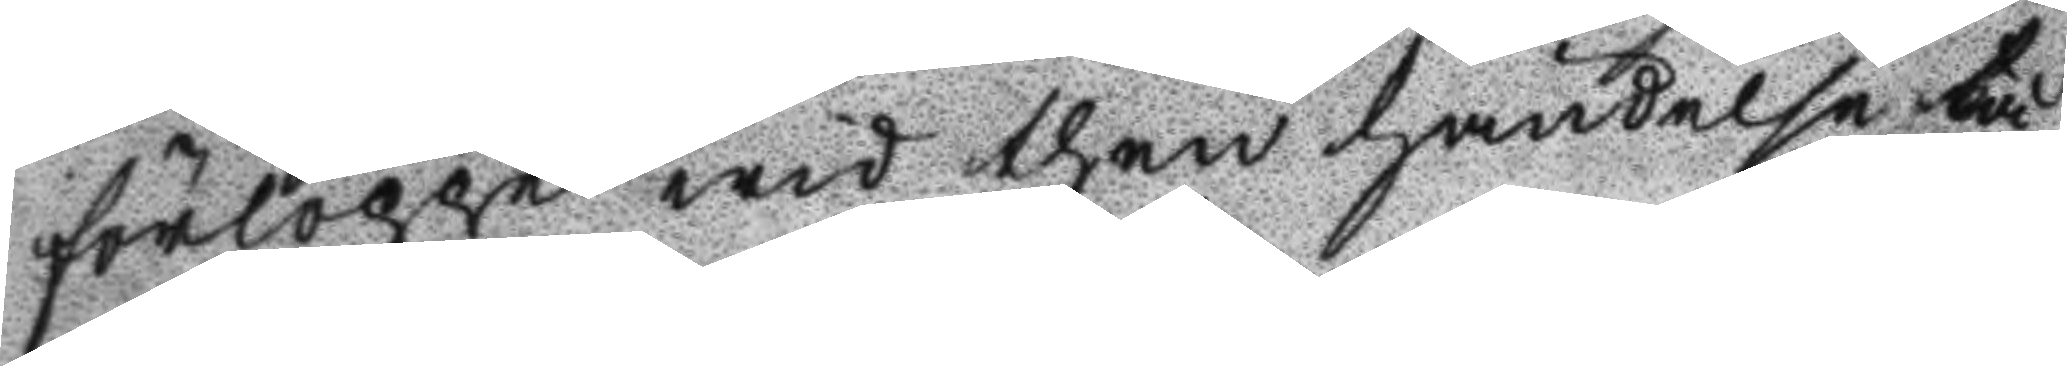förloppet wid then händelse tå
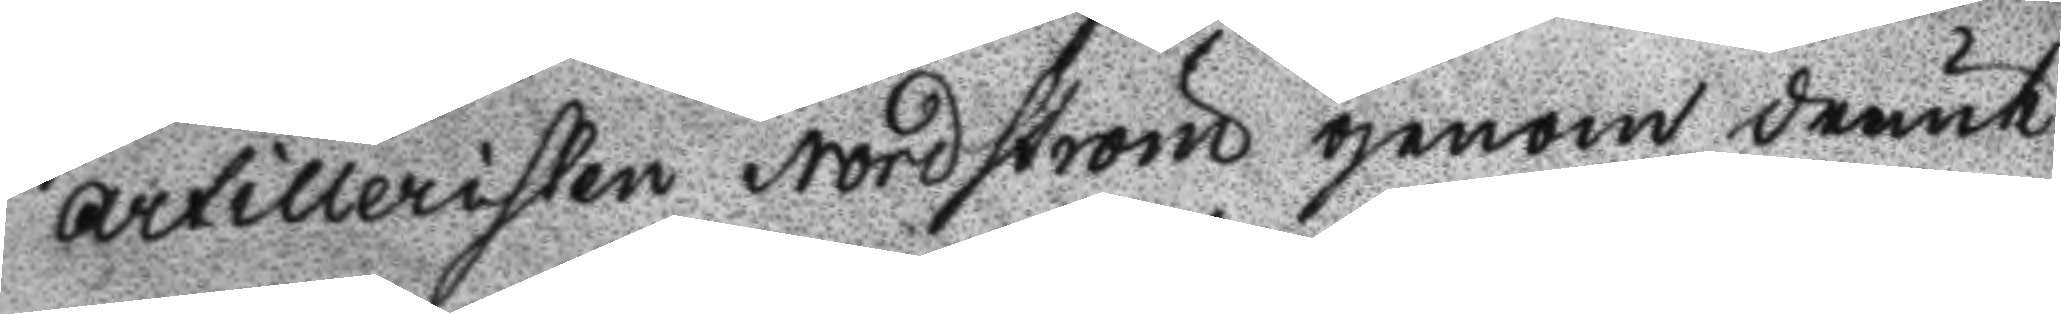artilleristen Nordström genom drunk
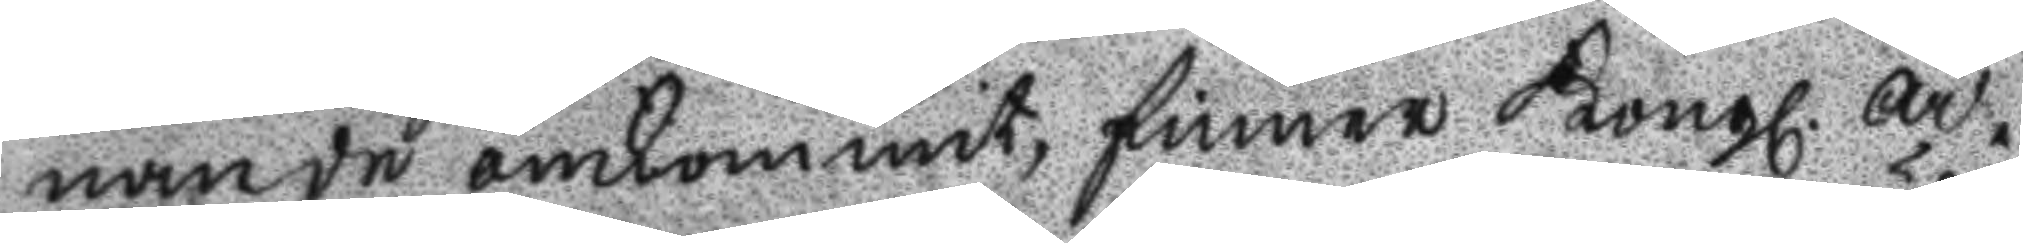nande omkommit, finner Kongl ar¬
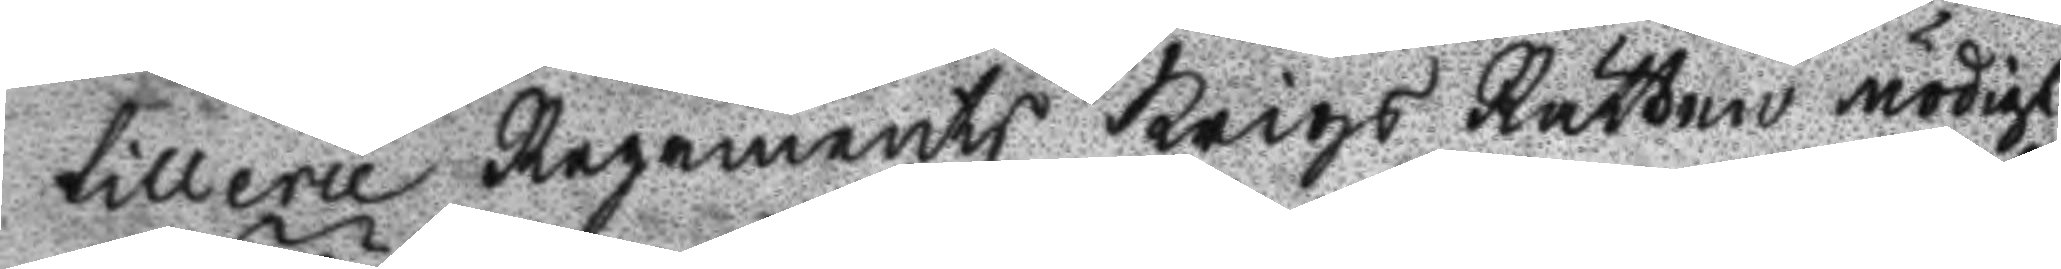tillerie Regements Krigs Rätten nödigt
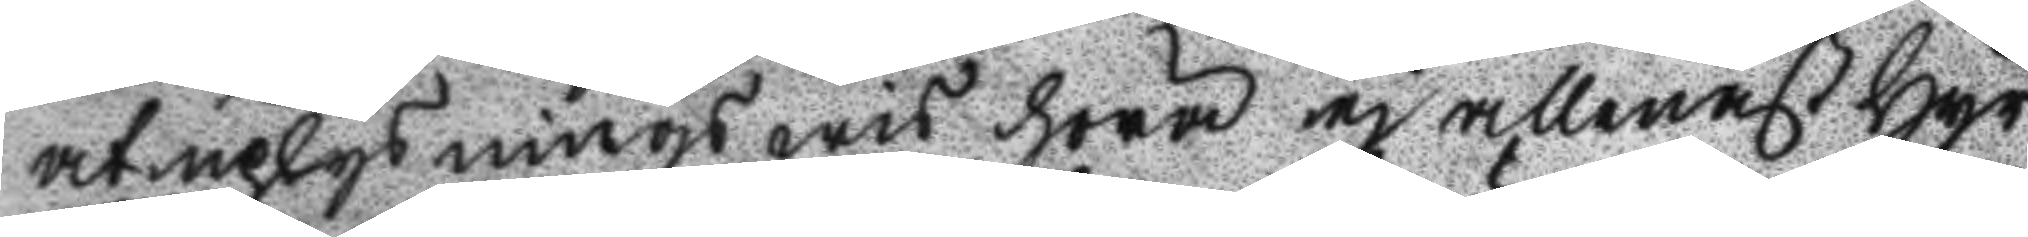at uplysningswis höra ej allenast hyr
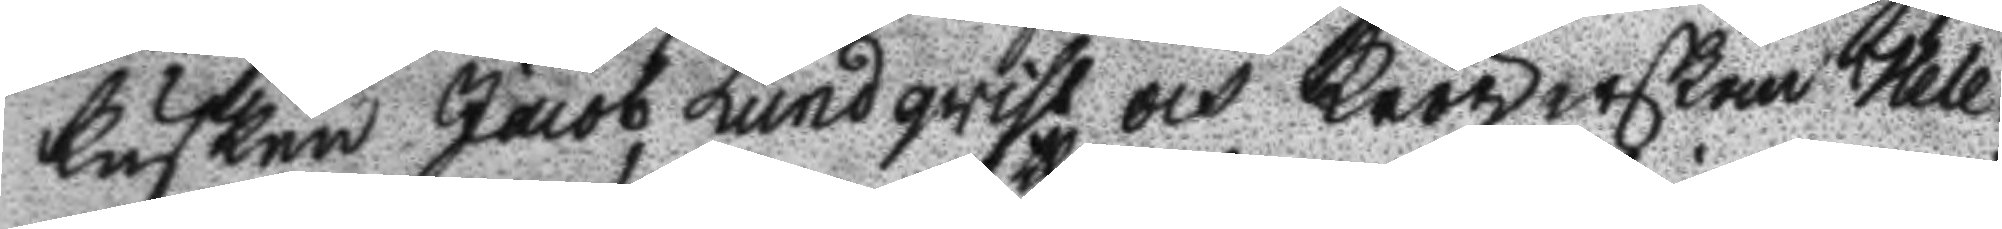kusken Jacob Lundqvist och Krögerskan Hele¬
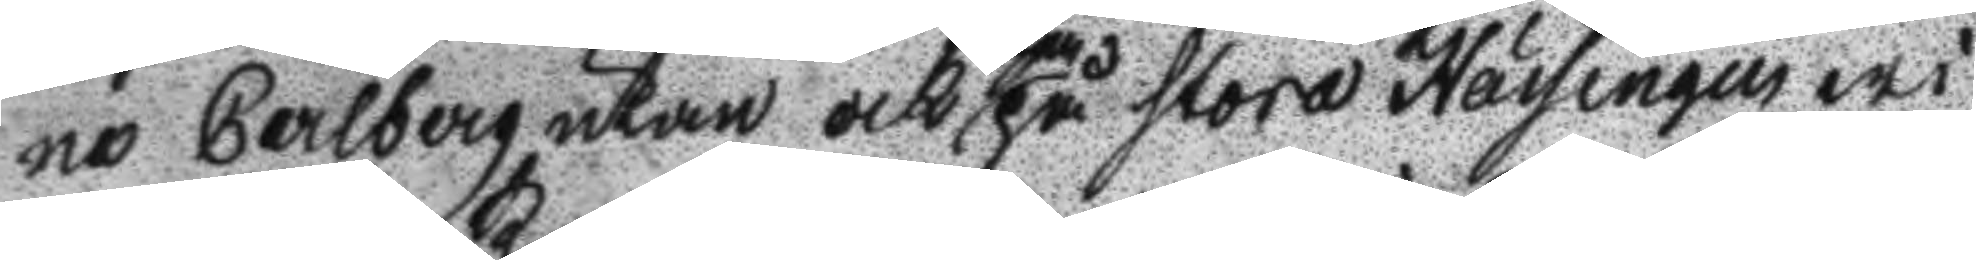na Carlberg utan och then på Stora Hässingen wi
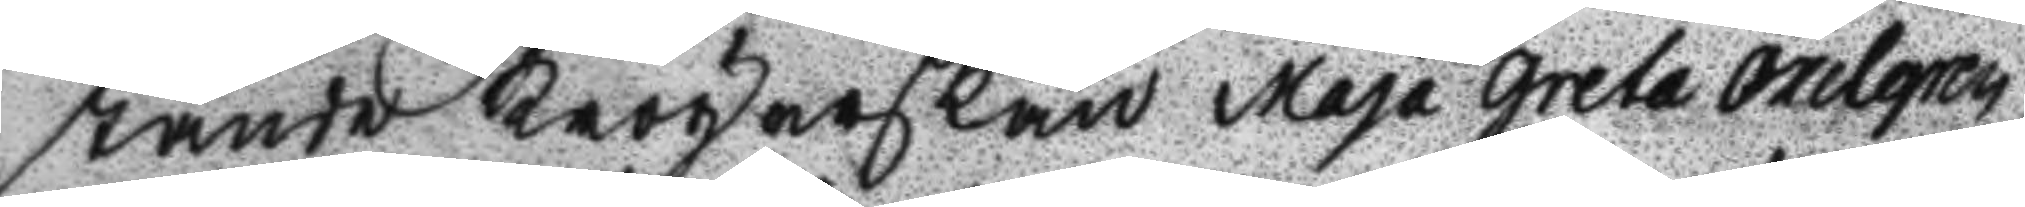stande krögerskan Maja Greta Axelgren,
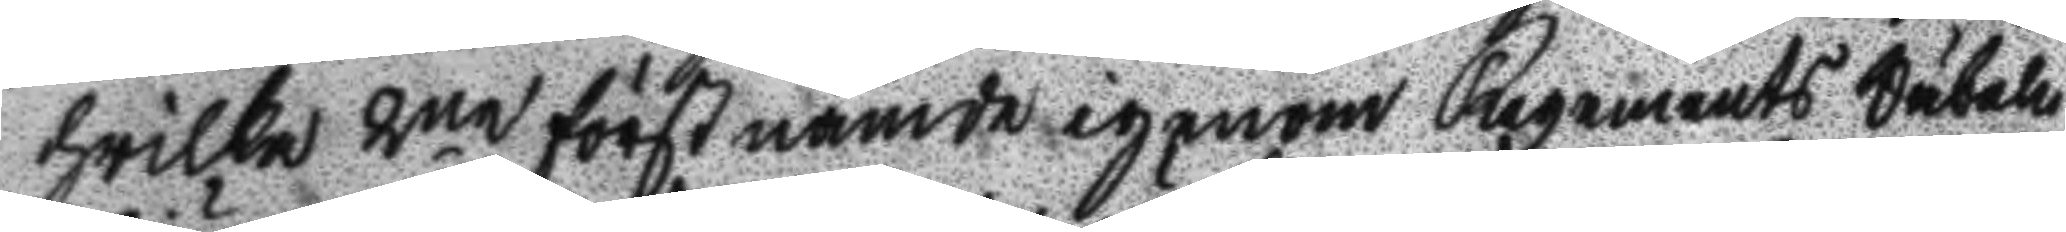hwilka 2ne förstnäme igenom Regements Wäbelen
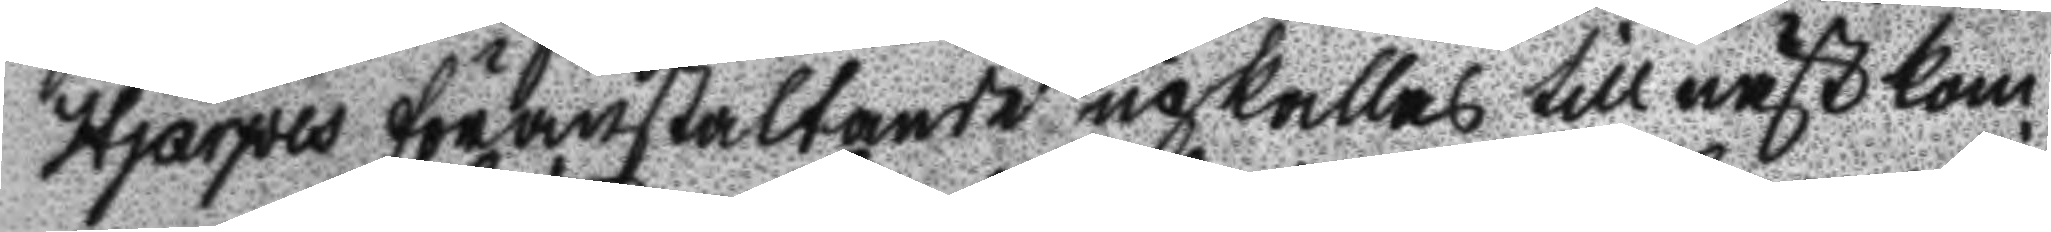Hjärpes föranstaltande upkallas till nästkom
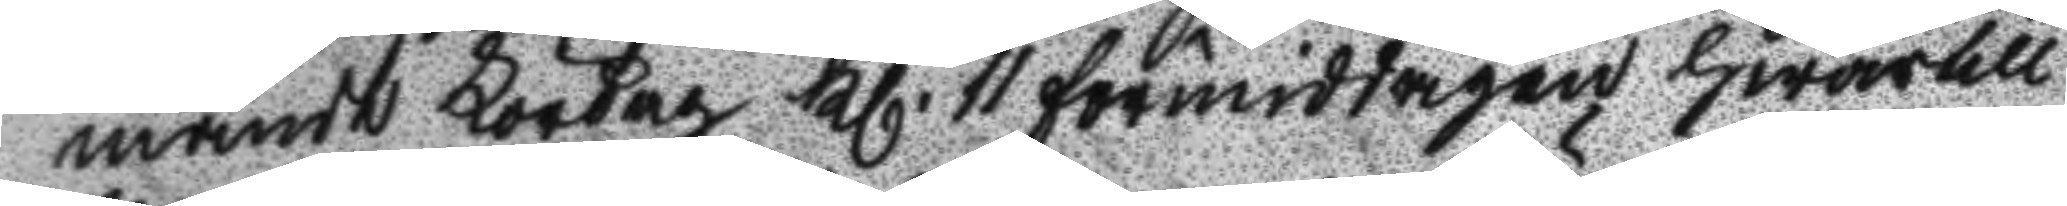mande Lördag Kl.11 förmiddagen hwartill
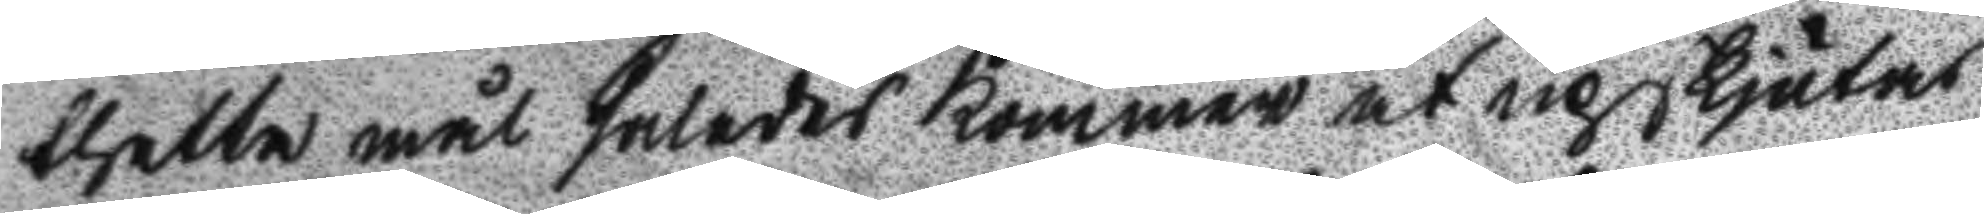thetta mål således kommer at upskjutas
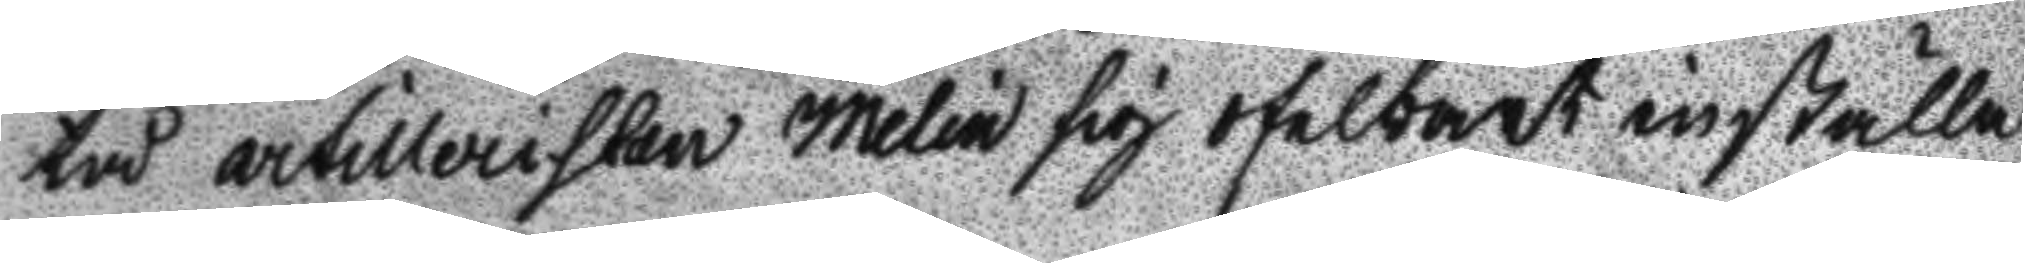tå artillersiten Melin sig ofelbart inställa
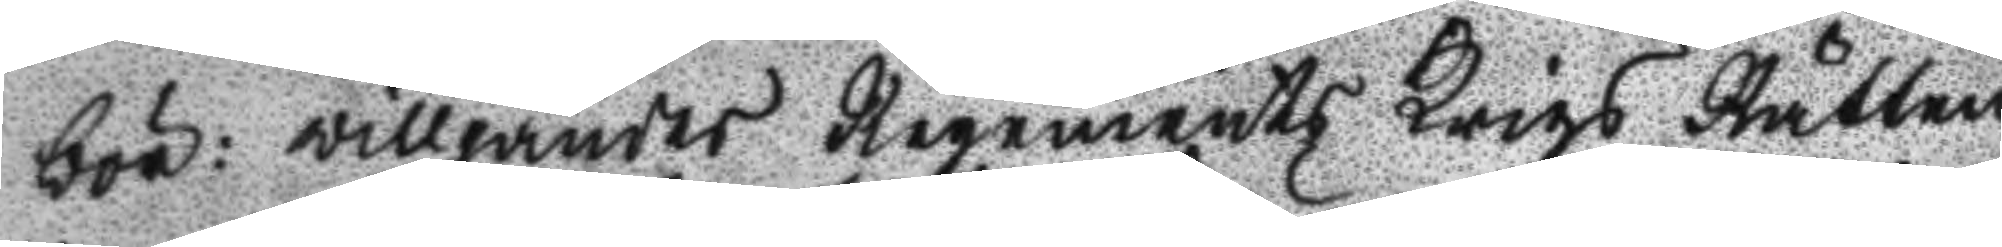bör: willjandes regements Krigs Rätten
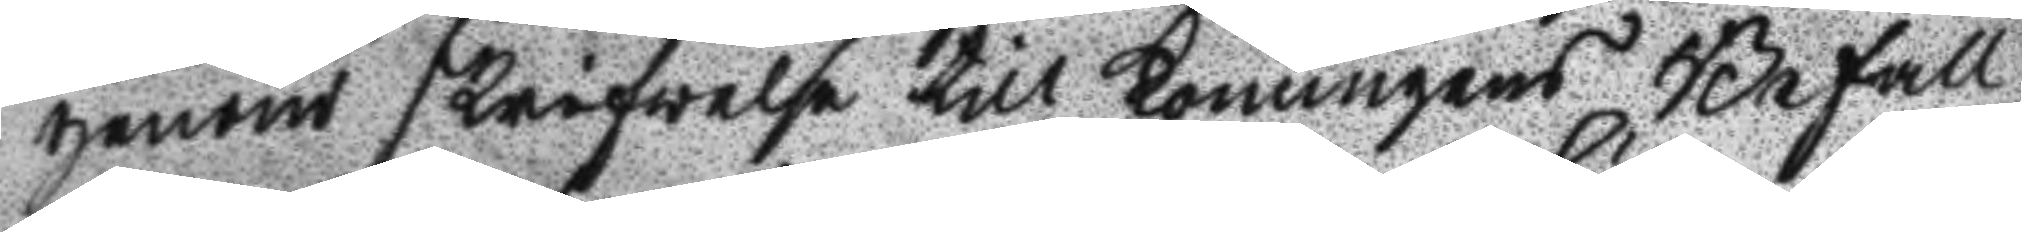genom skrifwelse till Konungens Befall
